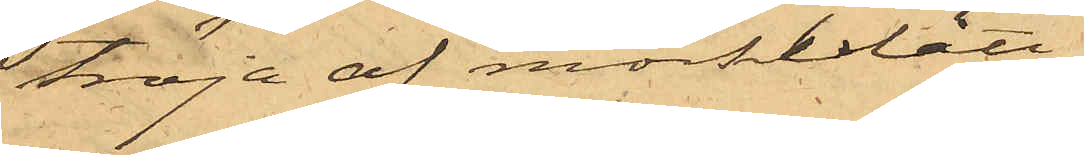tröja af mörkblått
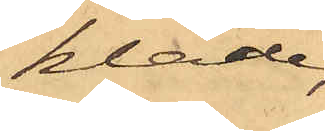kläde,
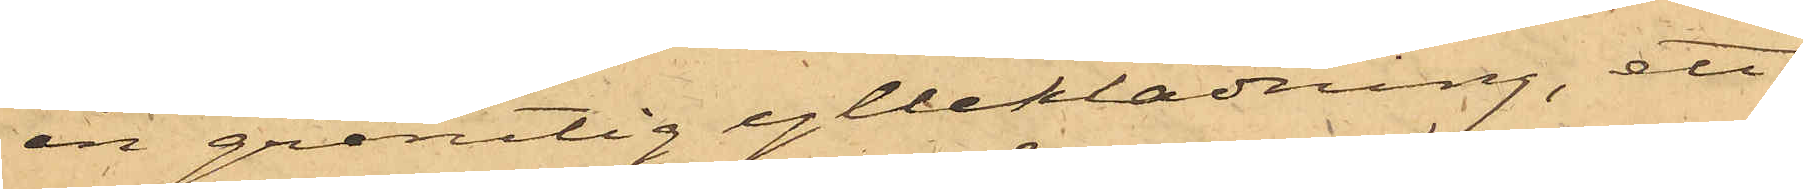en grårutig ylleklädning, ett
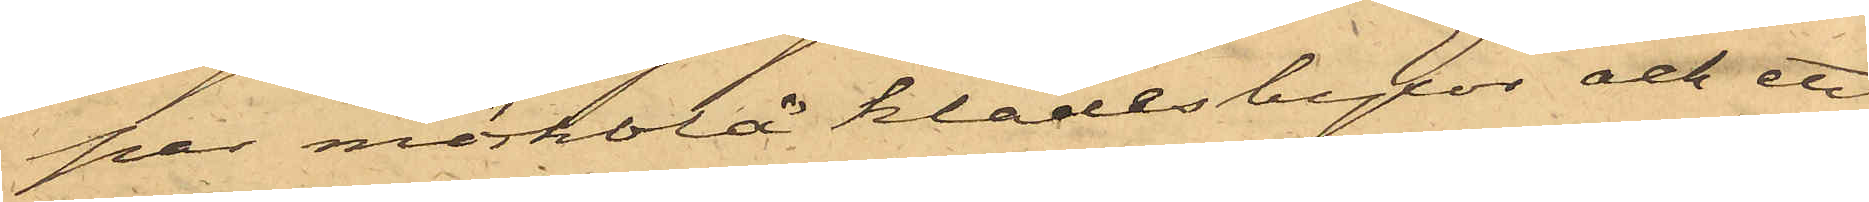par mörkblå klädesbyxor och ett
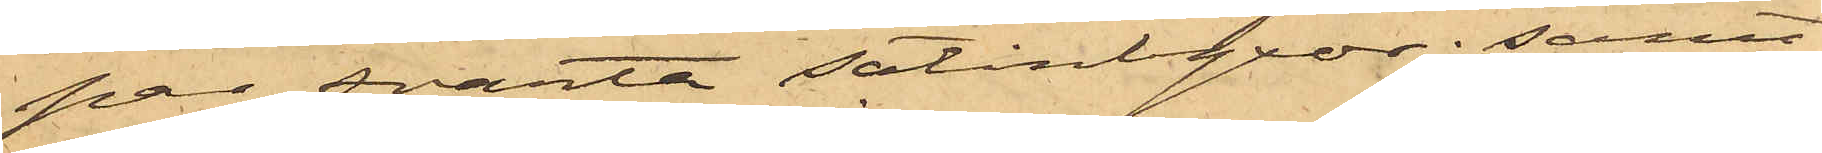par svarta satinbyxor; samt
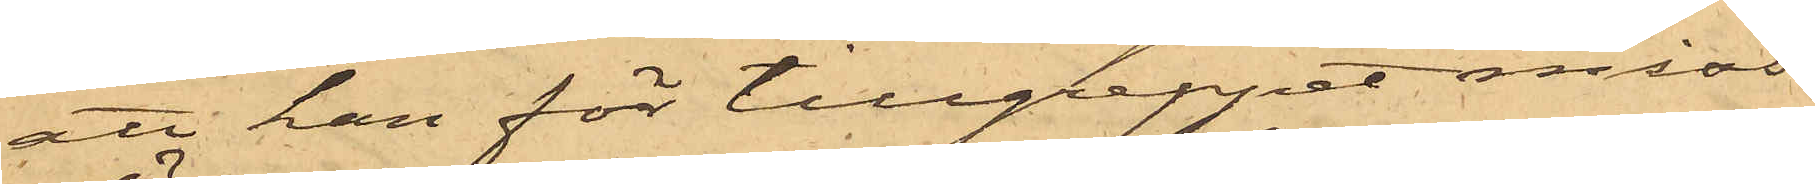att han för tillgreppet miss¬
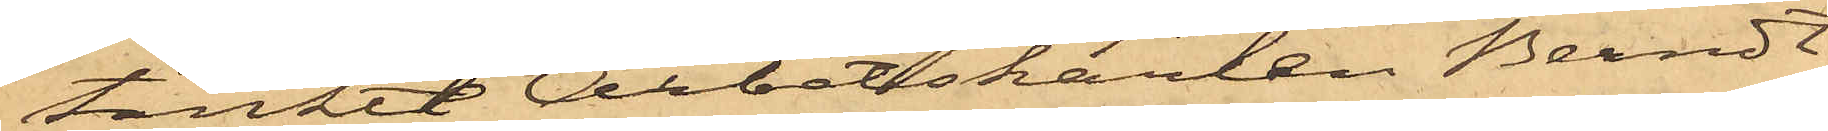tänkte Arbetskarlen Berndt
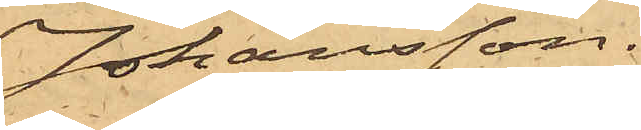Johansson.
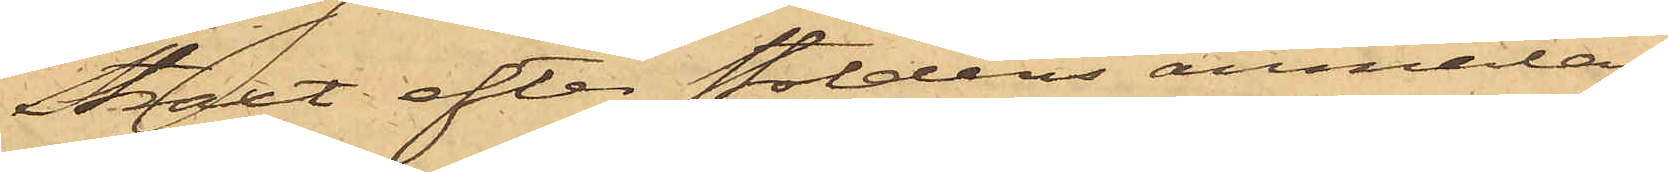Straxt efter stöldens anmälan
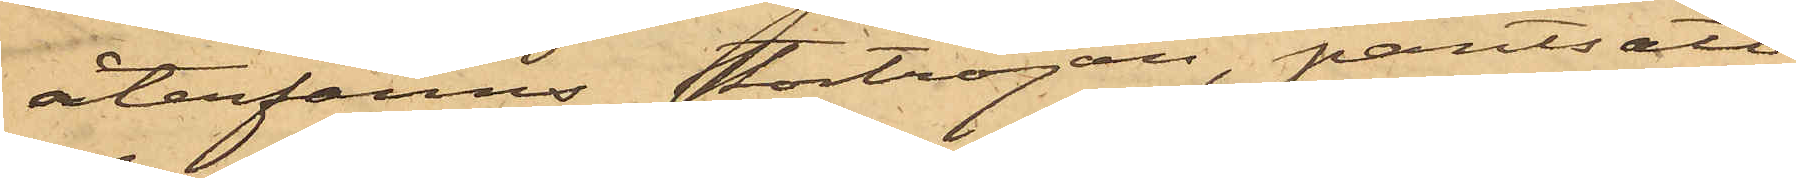återfanns stortröjan, pantsatt
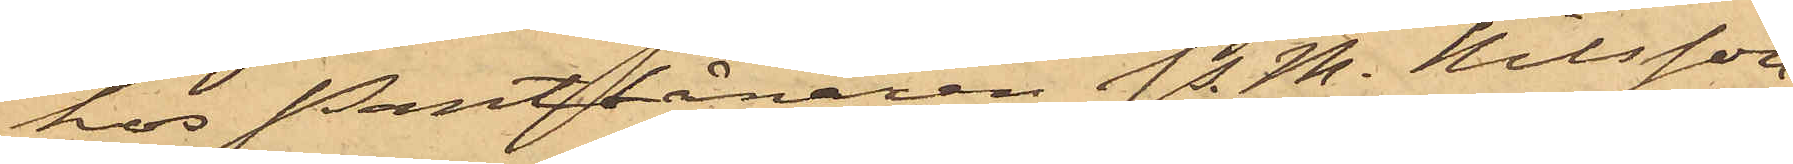hos Pantlånaren P. M. Nilsson
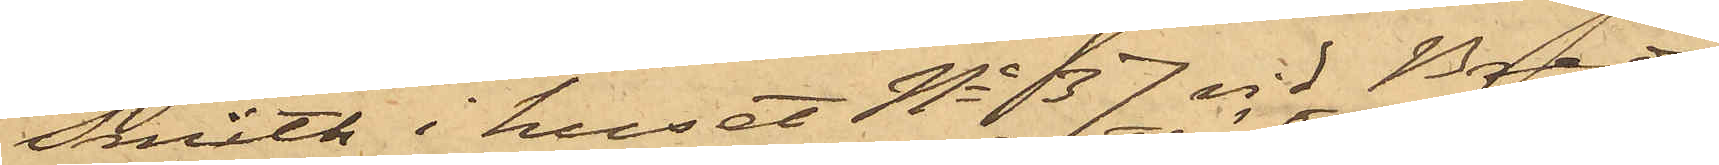Smith i huset No 137 vid Breda
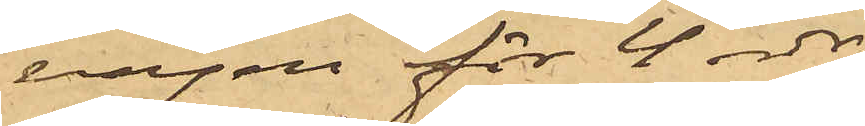vägen för 4 rdr
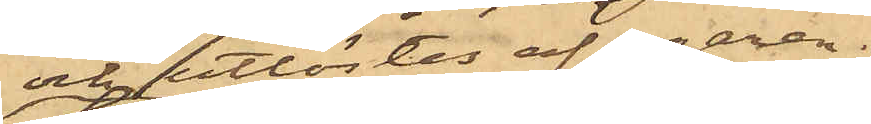och utlöstes af egaren,
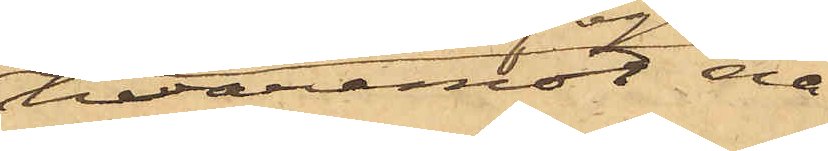hvaremot nå¬
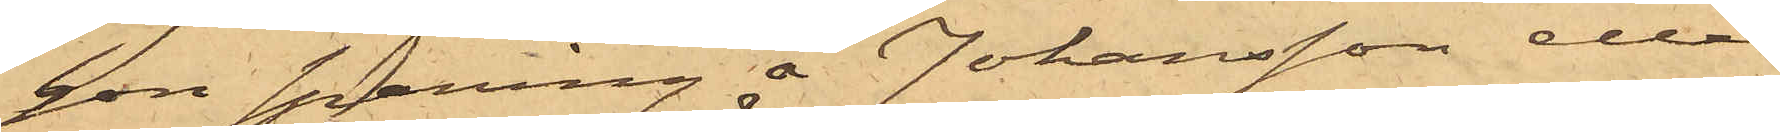gon spaning å Johansson eller
